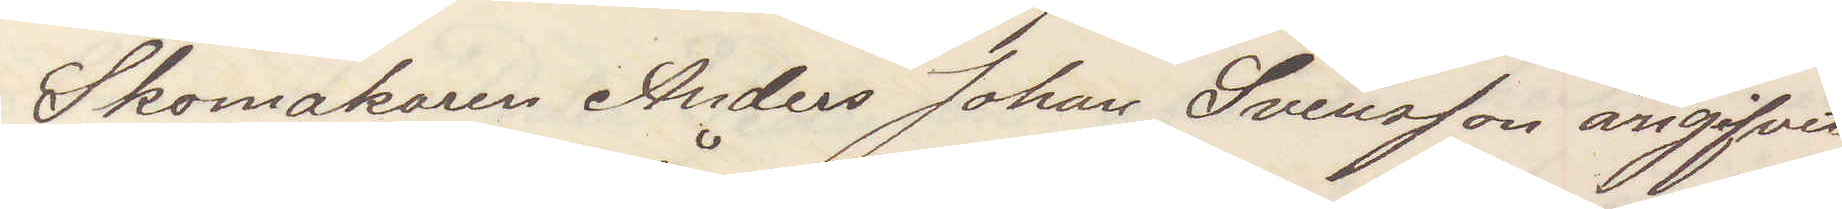Skomakaren Anders Johan Svensson angifvit
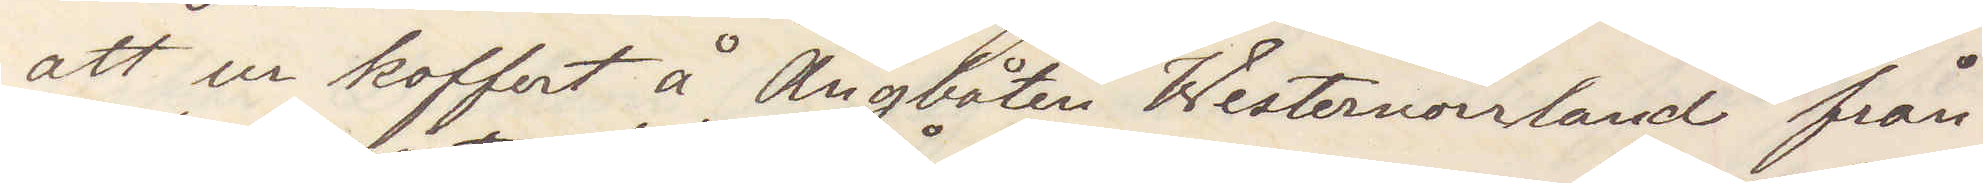att ur koffert å Ångbåten Westernorrland från¬
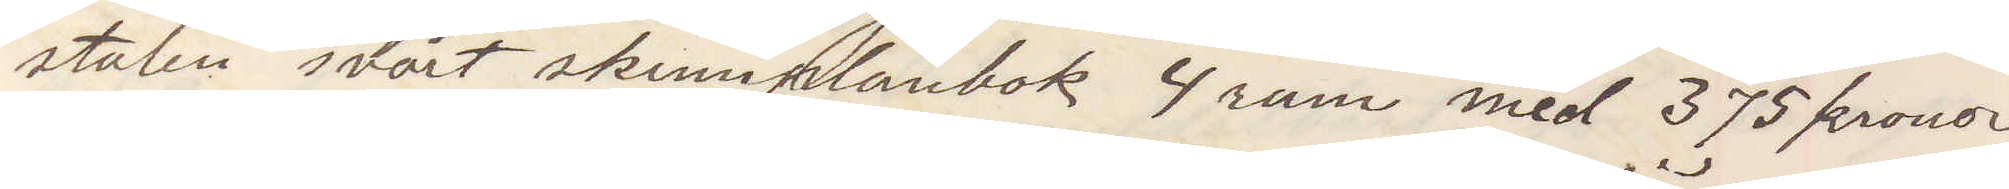stulen svart skinnplånbok 4 rum med 375 kronor.
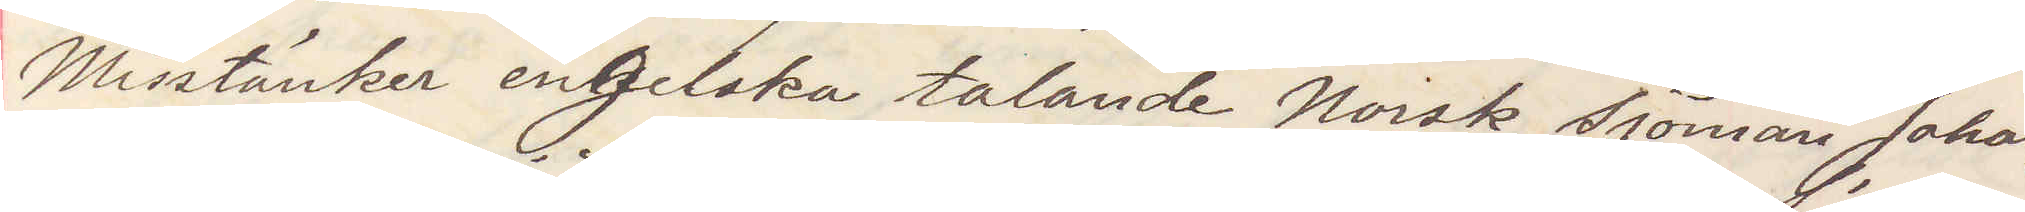Misstänker engelska talande Norsk sjöman Johans¬
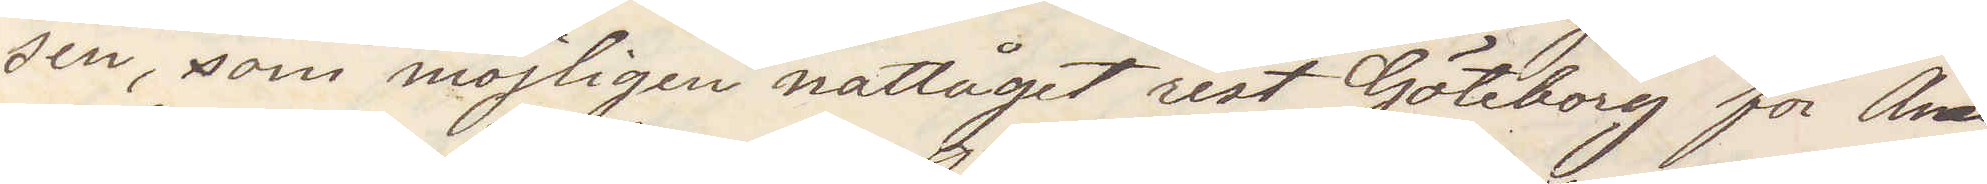sen, som möjligen nattåget rest Göteborg för Ame¬
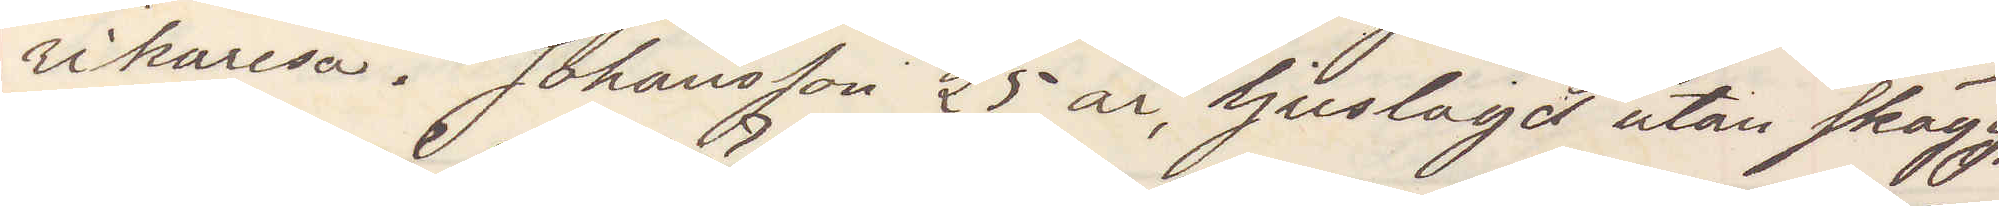rikaresa. Johansson 25 år ljuslagd utan skägg,
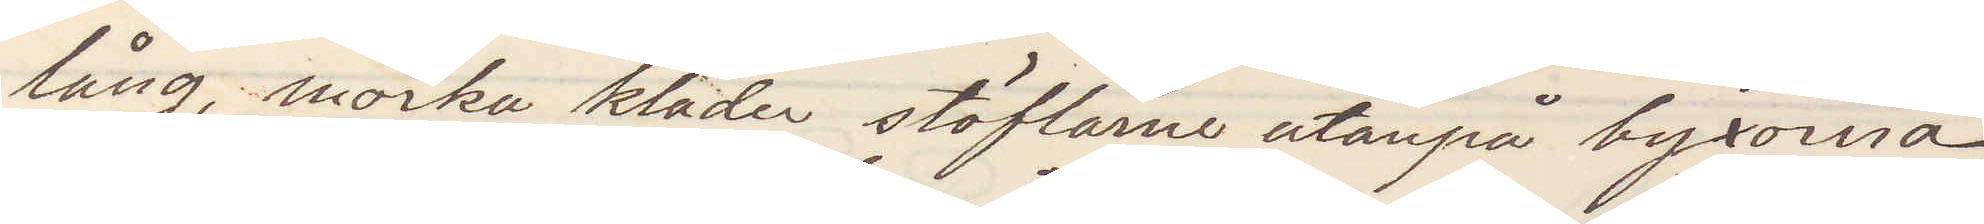lång, mörka kläder stöflarne utanpå byxorna,
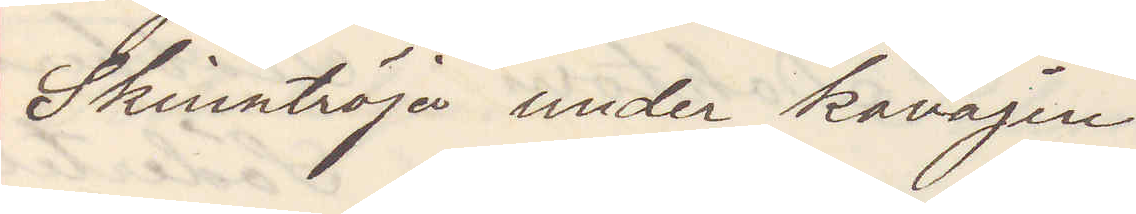Skinntröja under kavajen
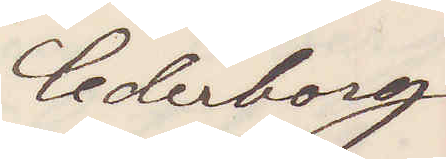Cederborg
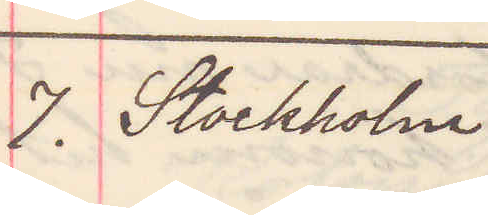7. Stockholm
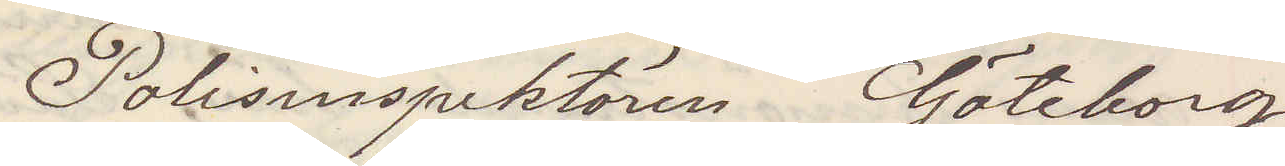Polisinspektören Göteborg
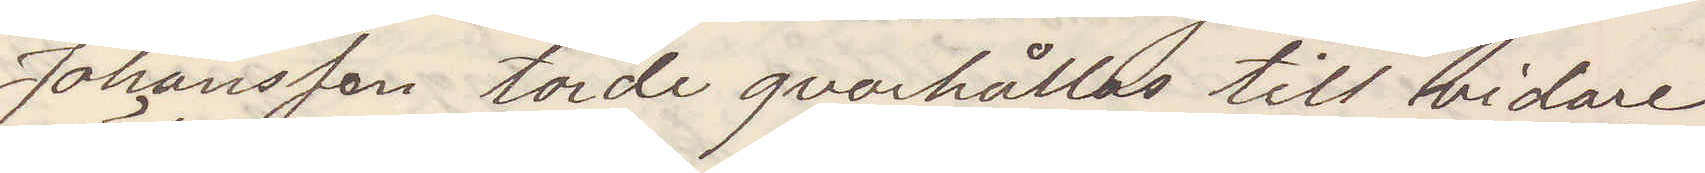Johansson torde qvarhållas tills vidare
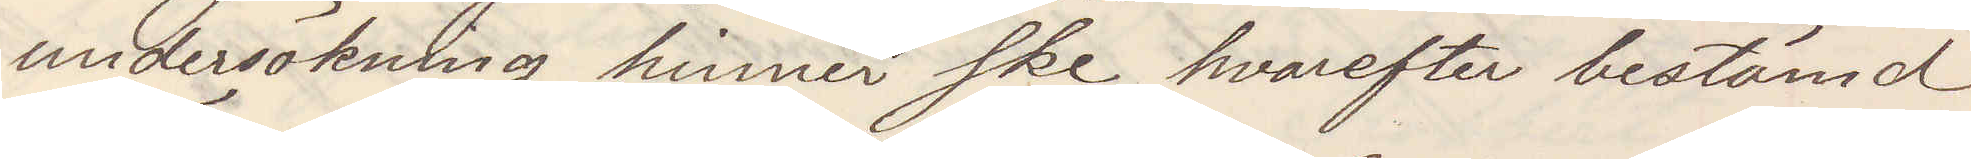undersökning hinner ske, hvarefter bestämd
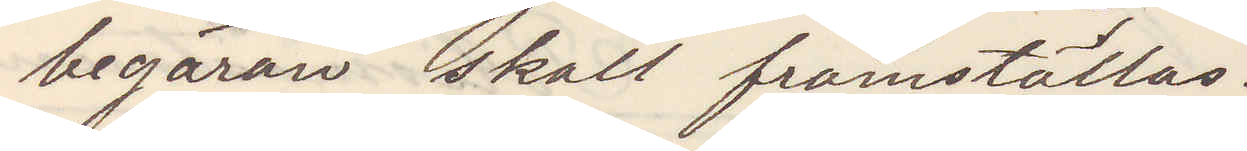begäran skall framställas.
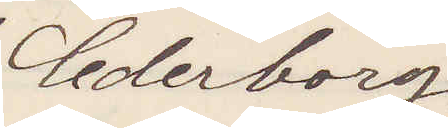Cederborg
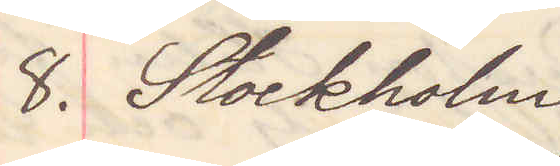8. Stockholm
